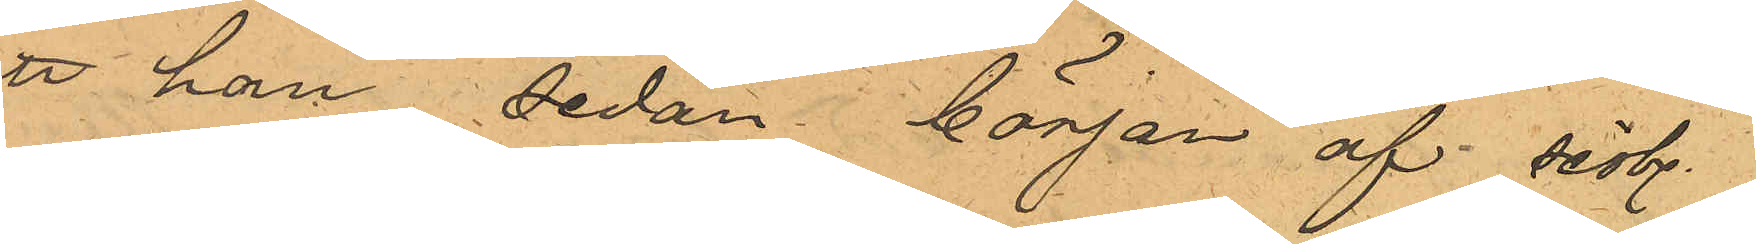att han sedan början af sistl.
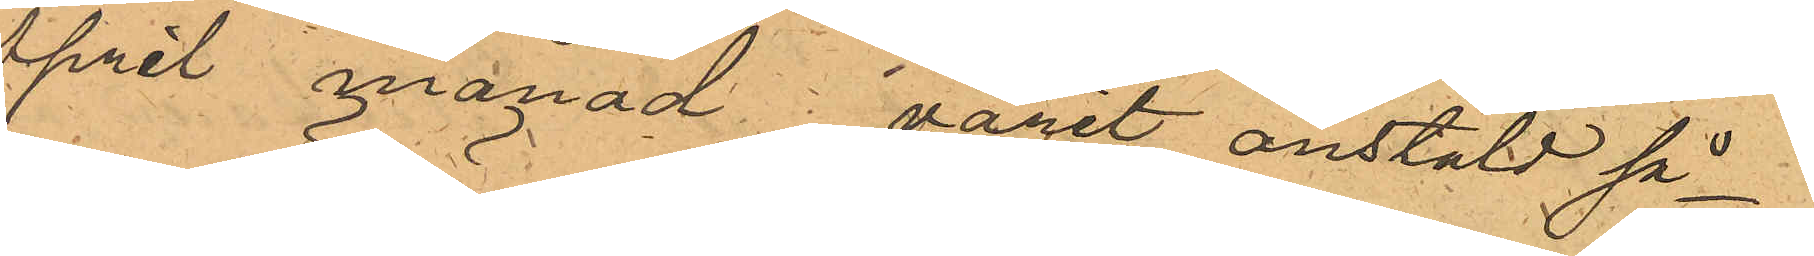April månad varit anstäld så¬
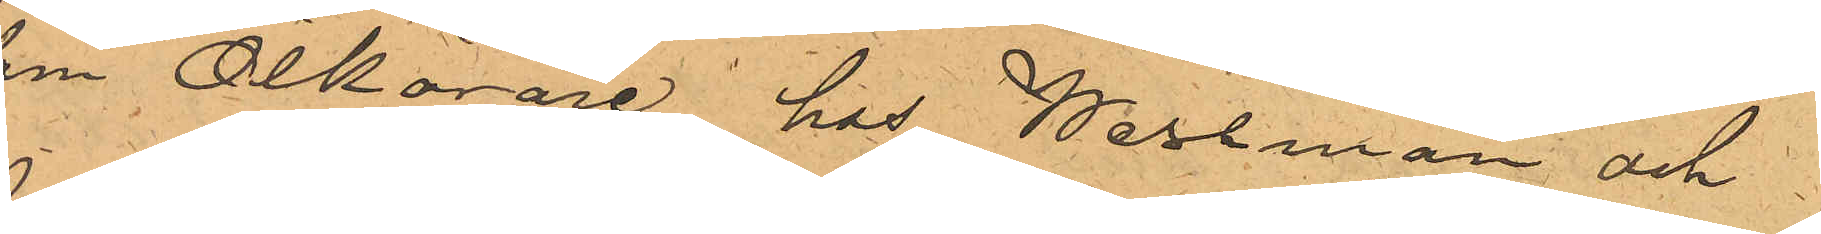som Ölkörare hos Wessman och
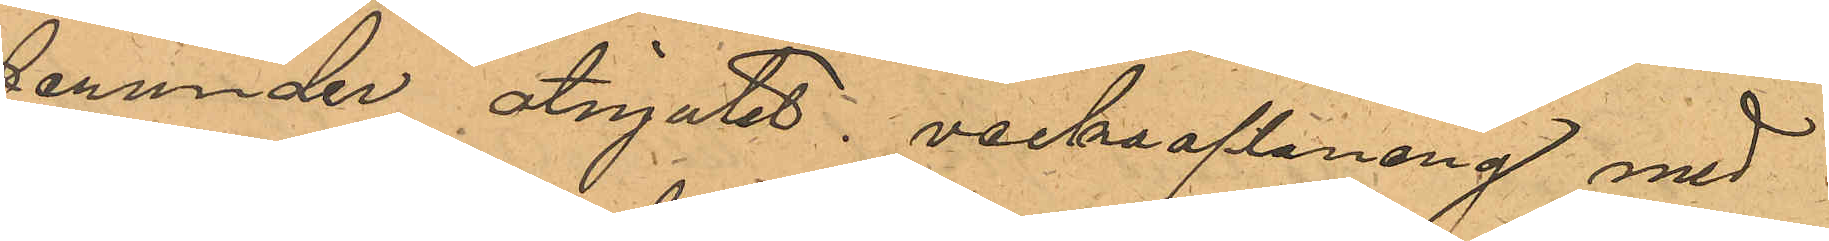derunder åtnjutit veckoaflöning med
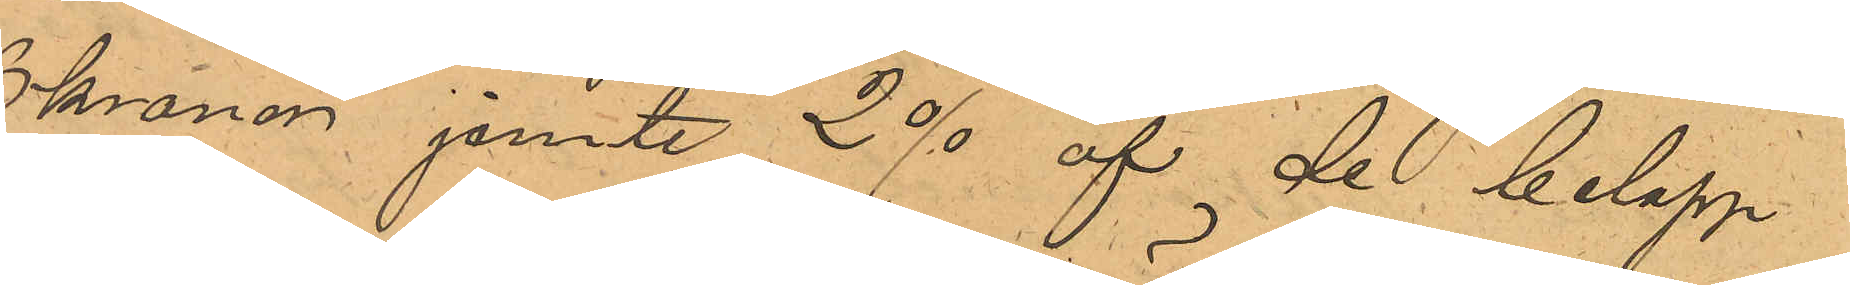6 kronor jemte 2 % af de belopp
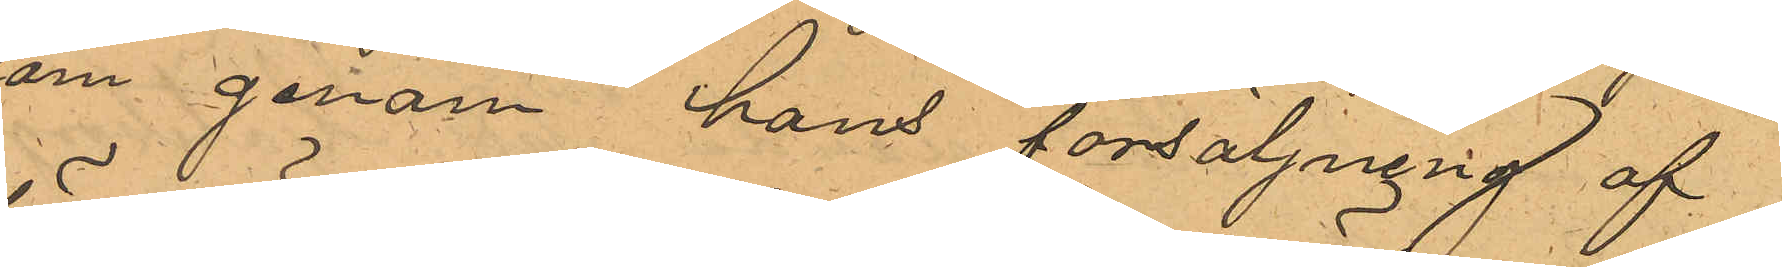som genom hans försäljning af
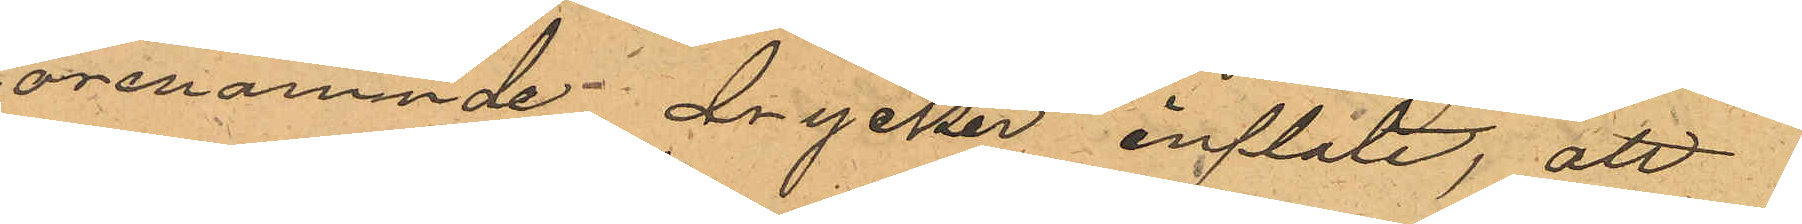förenämnde drycker inflöte, att
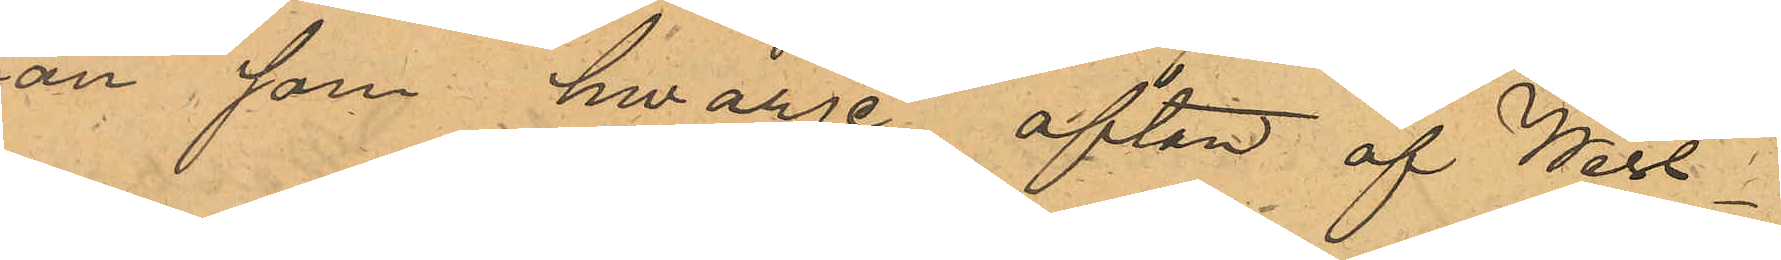han som hwarje afton af Wess¬
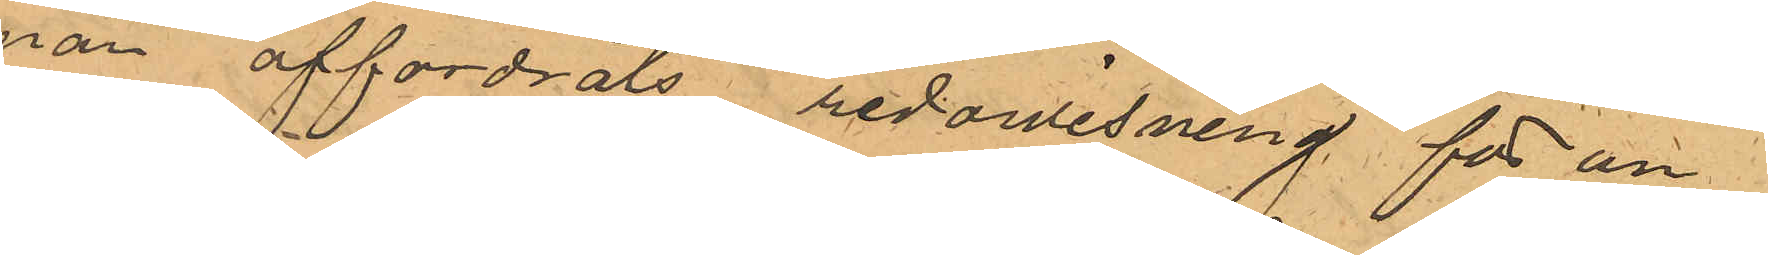man affordrats redowisning för un¬
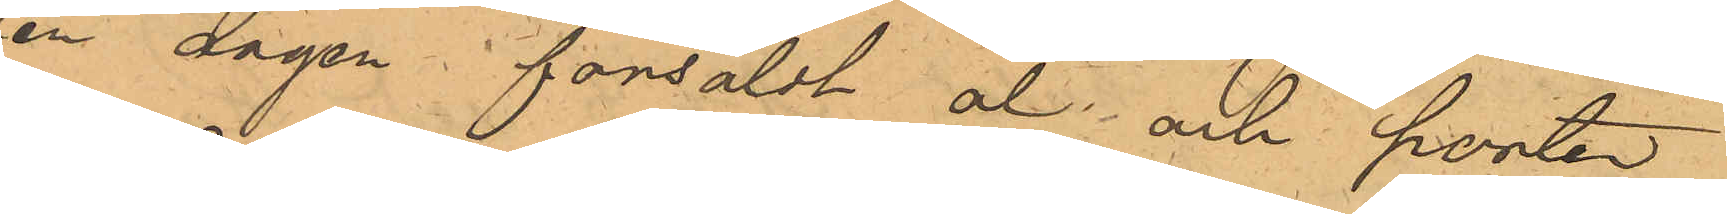der dagen försåldt öl och porter
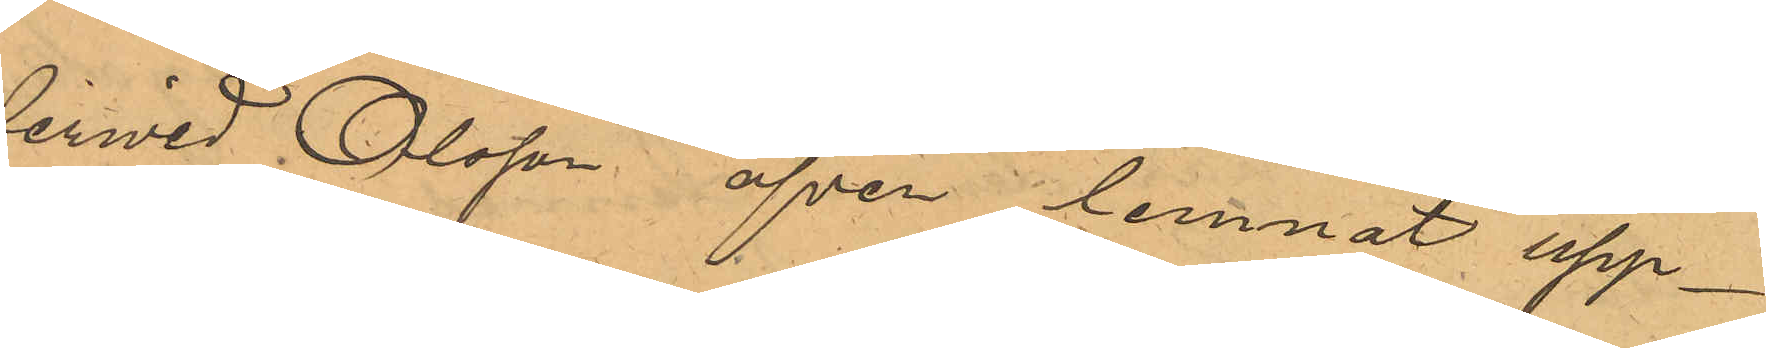derwid Olsson äfven lemnat upp¬
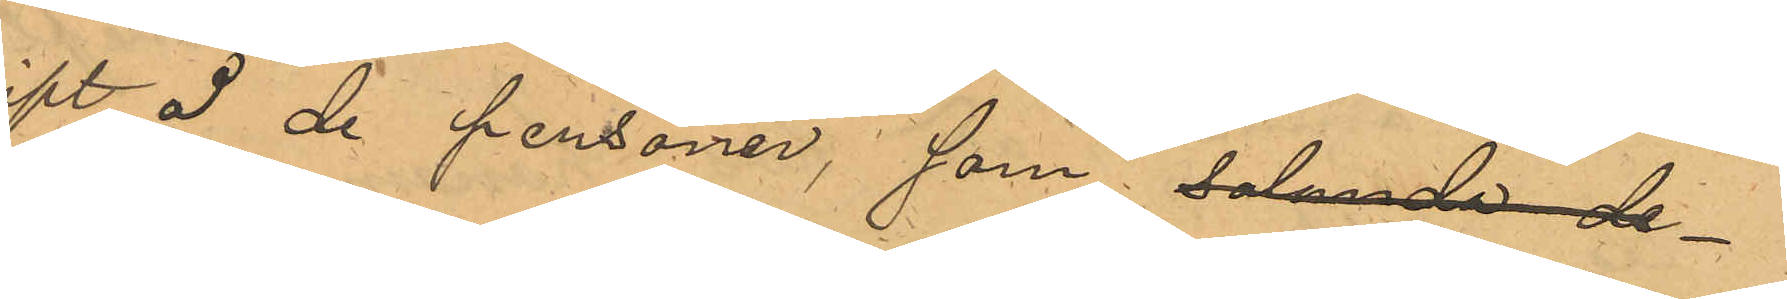gift å de personer, som sålunda de¬
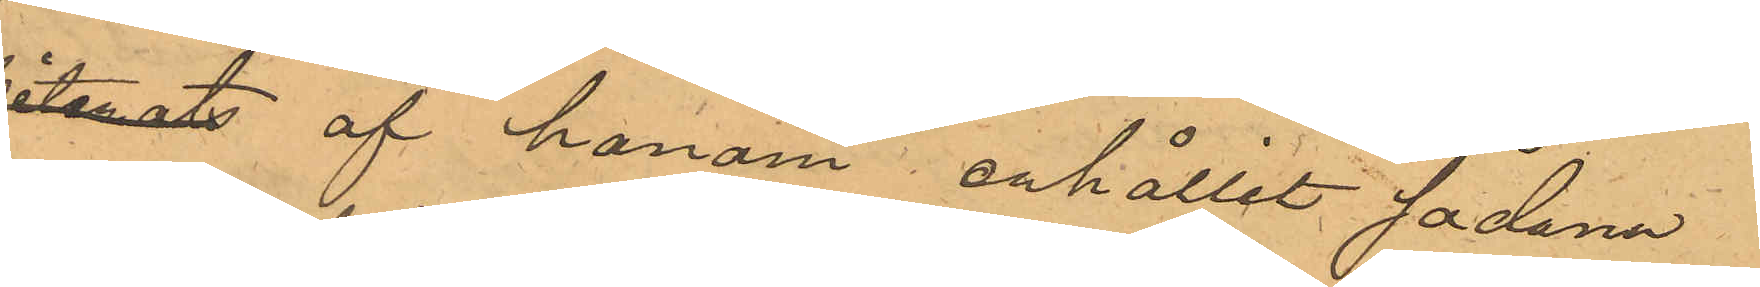biterats af honom erhållit sådana
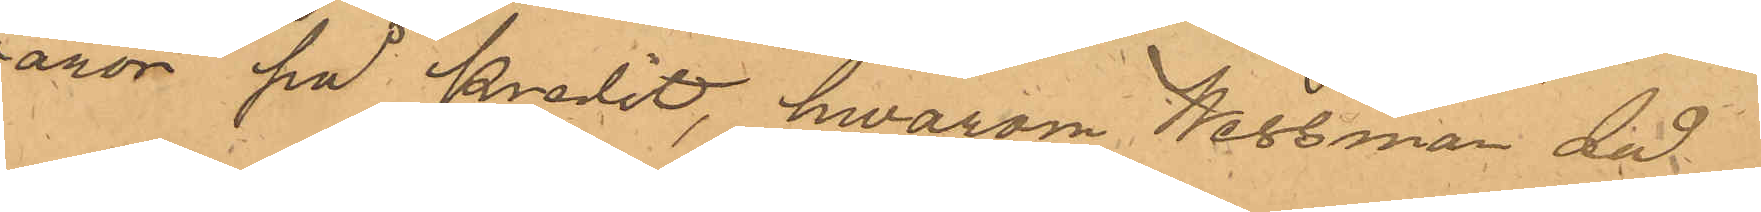waror på kredit, hwarom Wessman då
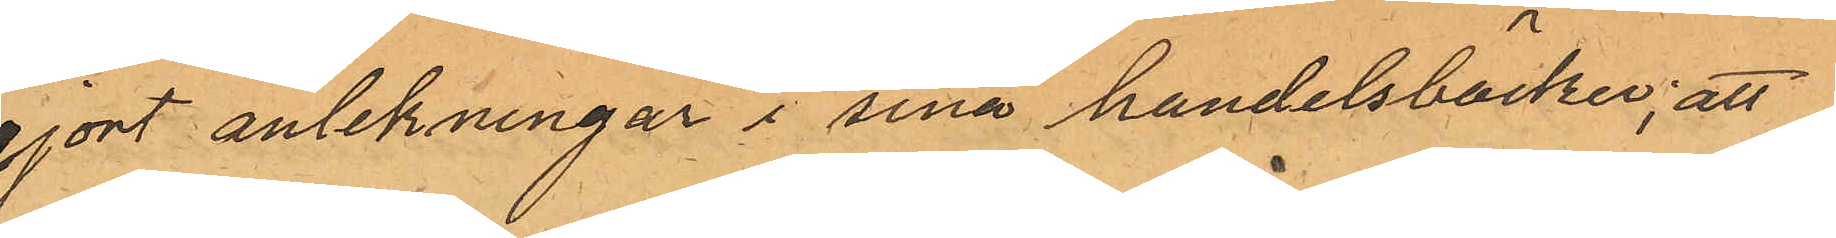gjort antekningar i sina handelsböcker; att
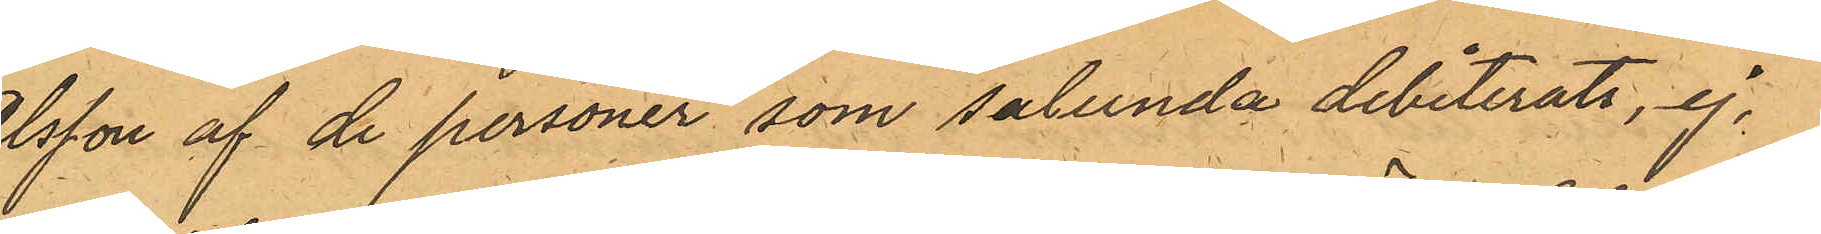Olsson af de personer som salunda debiterats, ej,
